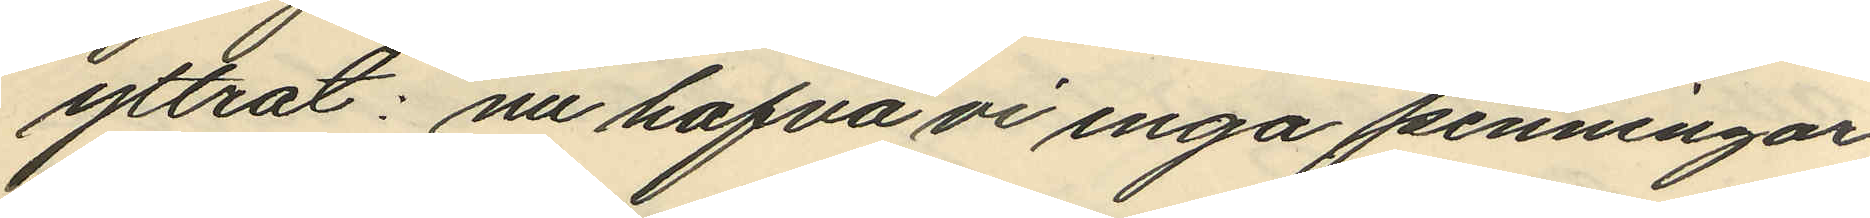yttrat: nu hafva vi inga penningar
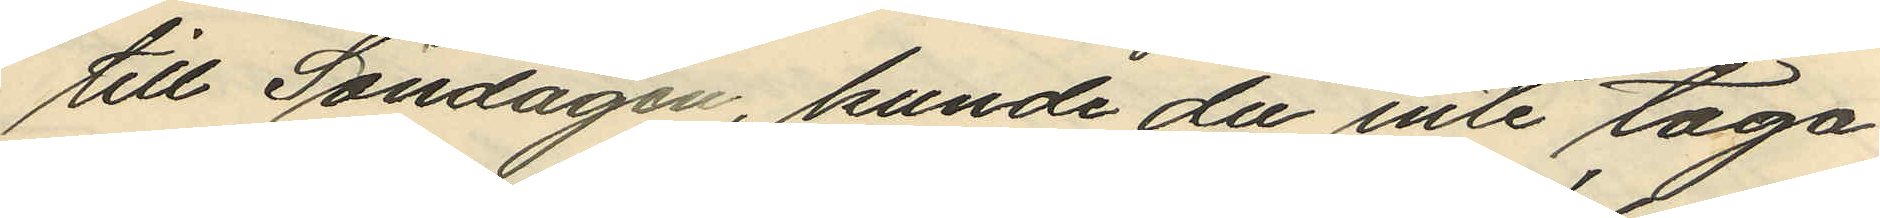till Söndagen, kunde du inte taga
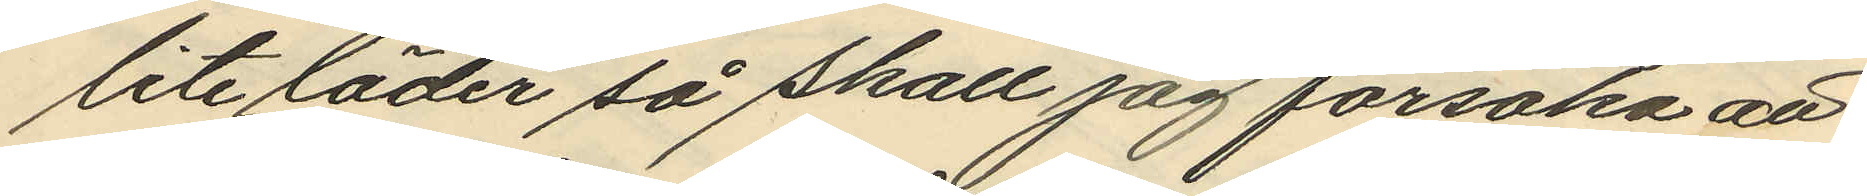lite läder så skall jag försöka att
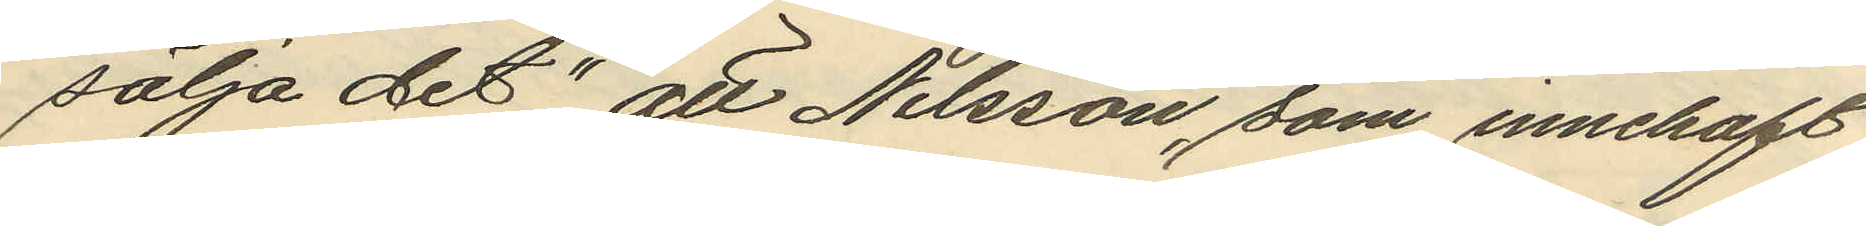sälja det", att Nilsson, som innehaft
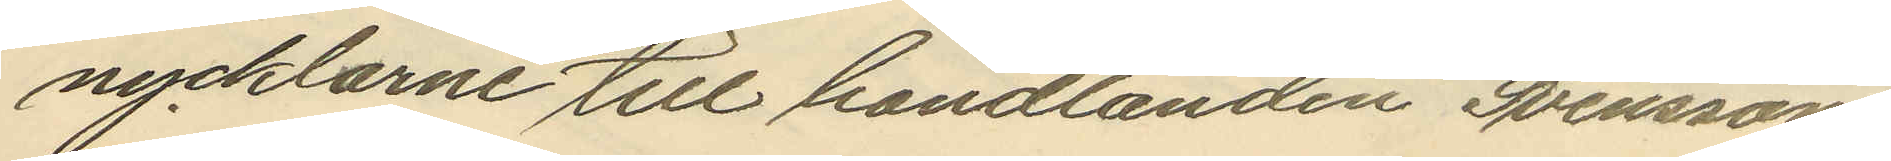nycklarne till handlanden Svenssons
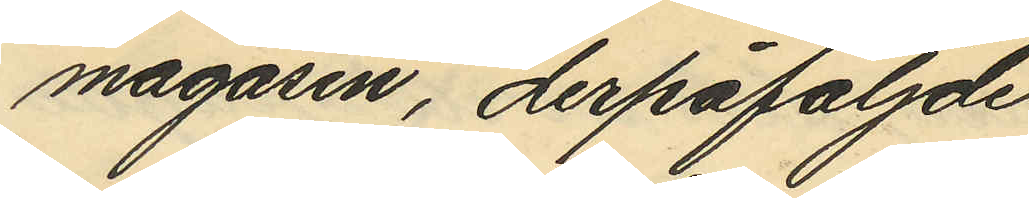magasin, derpåföljde
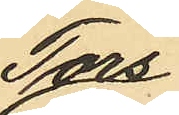Tors¬
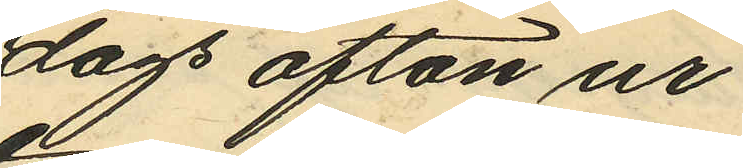dags afton ur
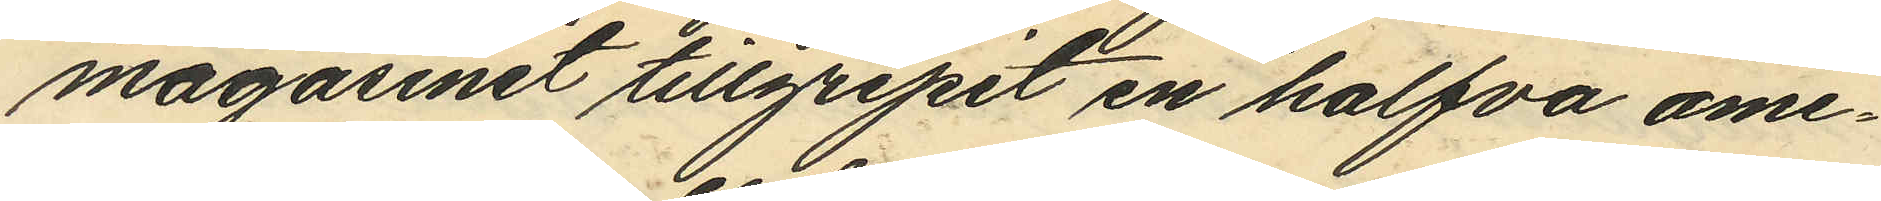magasinet tillgripit en halfva ame¬
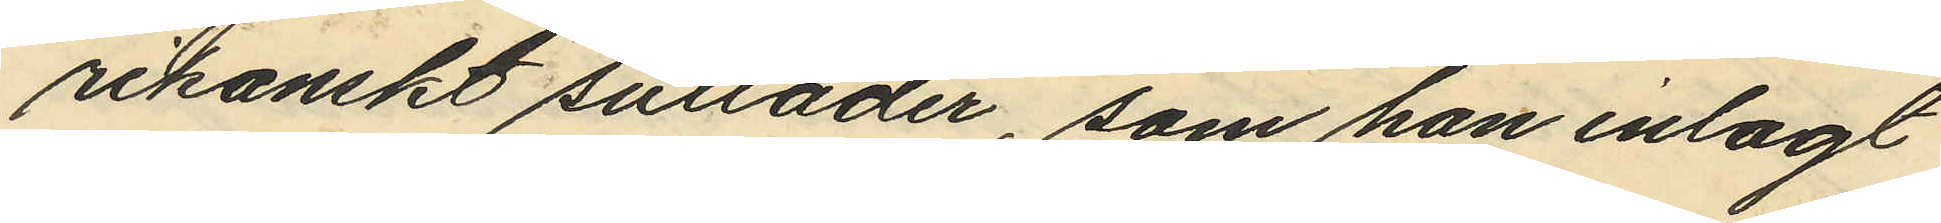rikanskt sulläder, som han inlagt
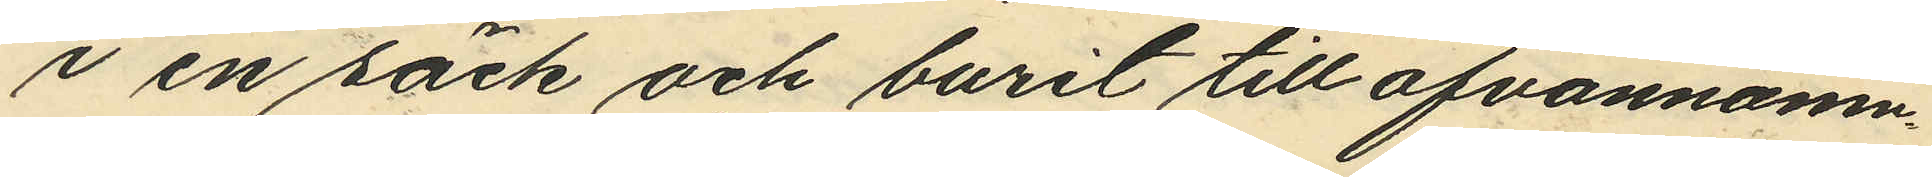i en säck och burit till ofvannämn¬
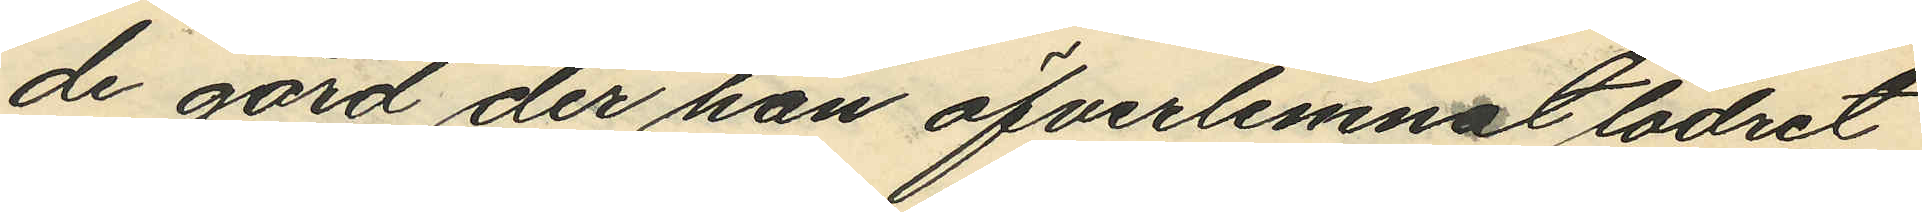de gård der han öfverlemnat lädret
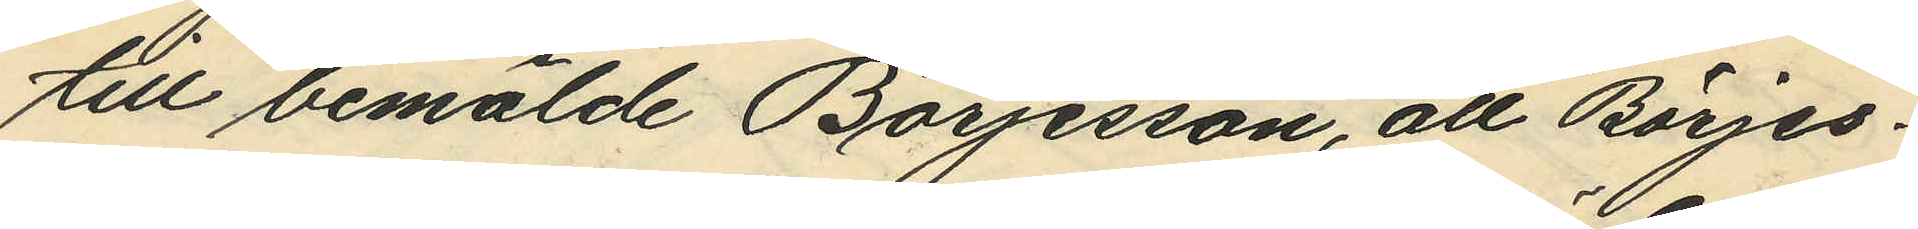till bemälde Börjesson, att Börjes¬
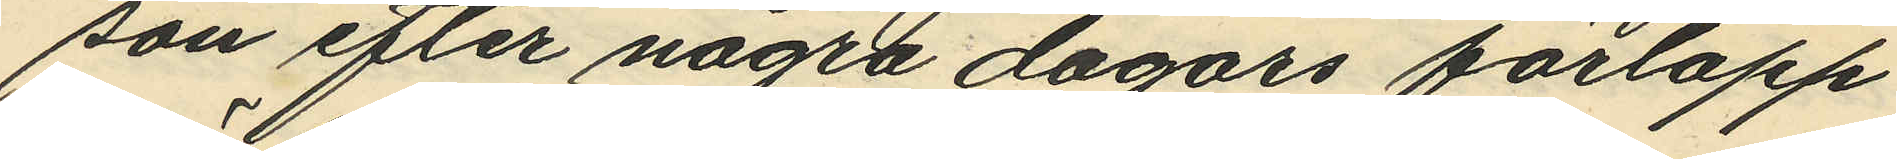son efter några dagars förlopp
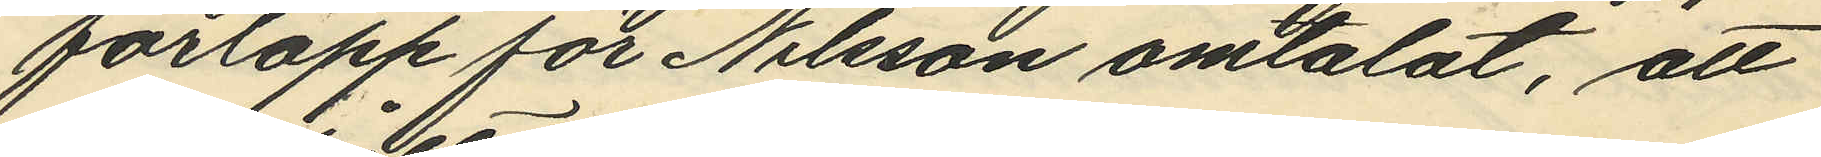förlopp för Nilsson omtalat, att
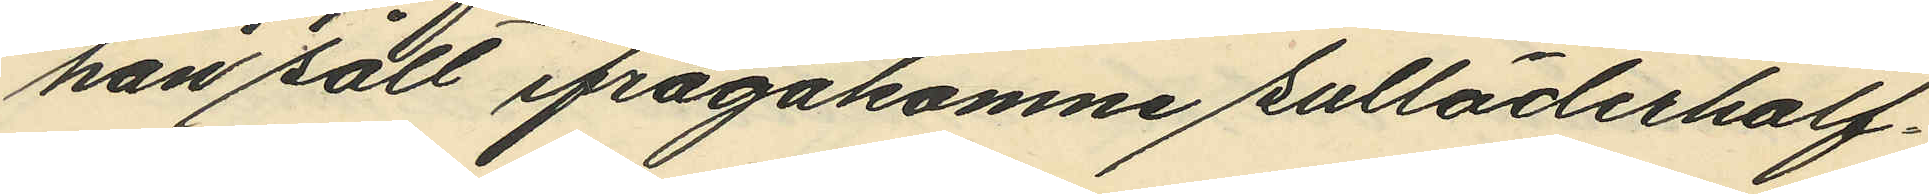han sålt ifrågakomne sulläderhalf¬
